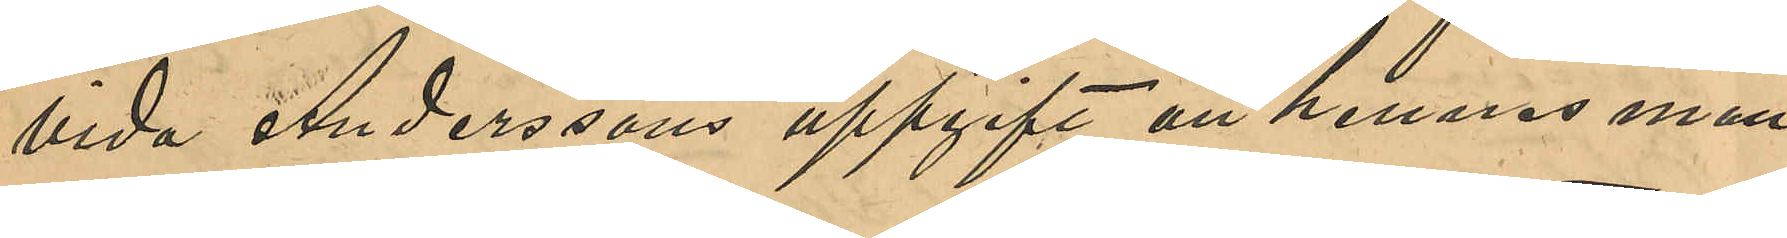vida Anderssons uppgift att hennes man
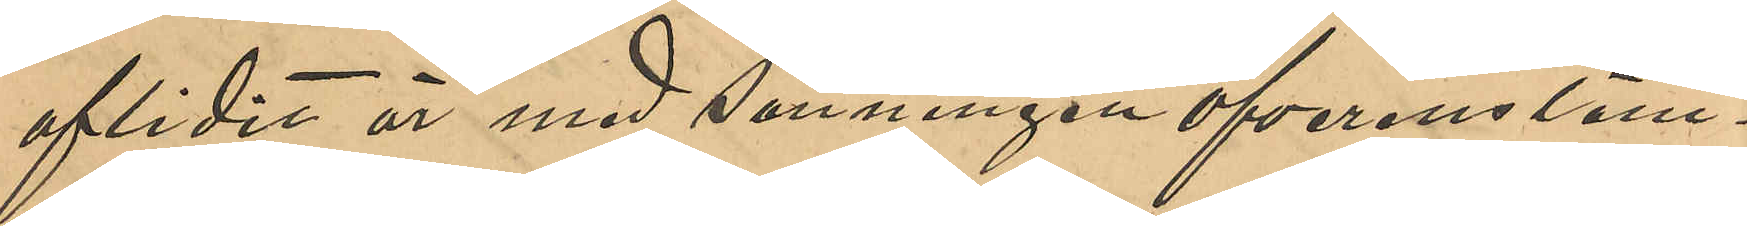aflidit är med sanningen öfverensstäm¬
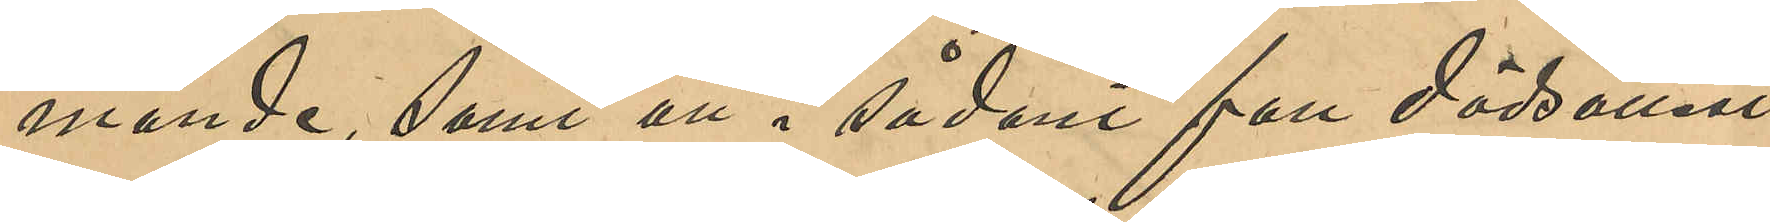mande, samt att i sådant fall dödsattest
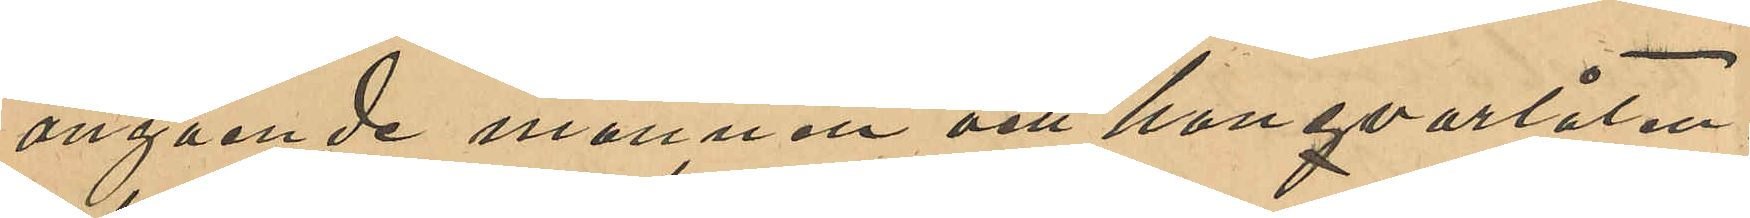angående mannen och hans qvarlåten¬
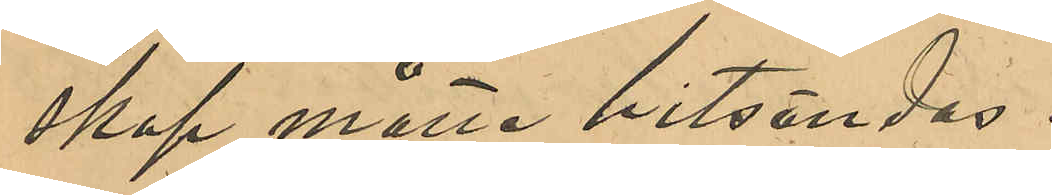skap måtte hitsändas.
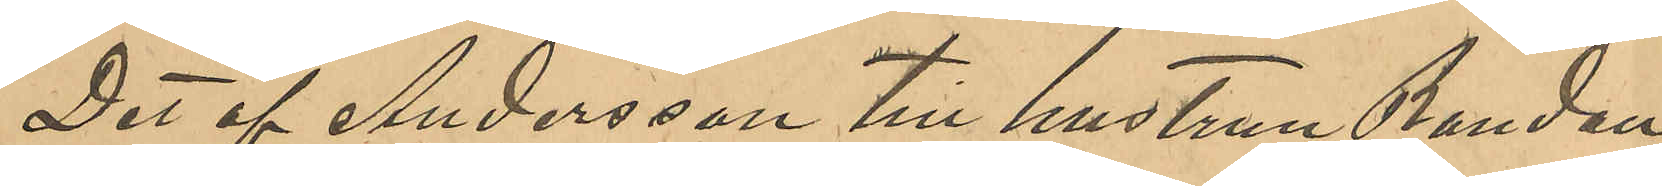Det af Andersson till hustrun Randau
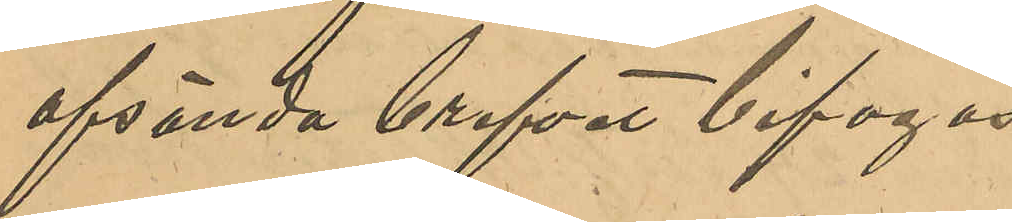afsända brefvet bifogas.
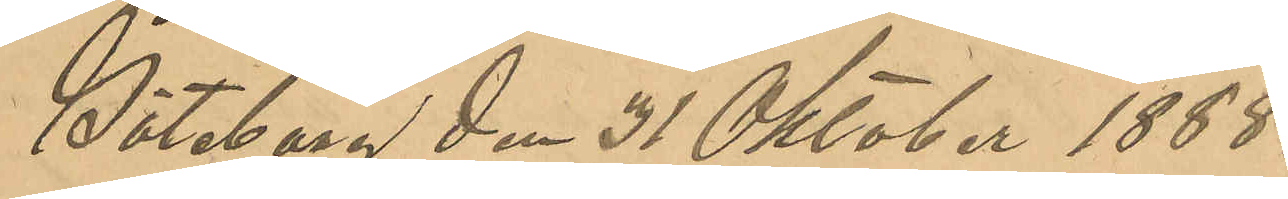Göteborg den 31 Oktober 1888.
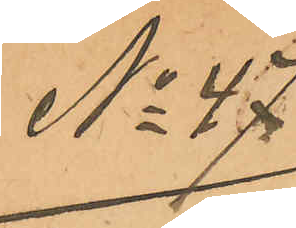No 47
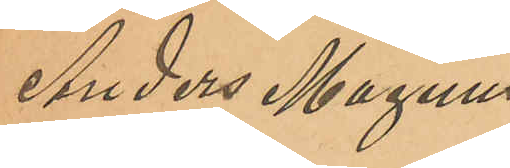Anders Magnus
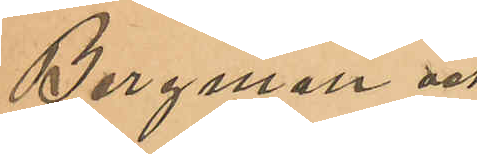Bergman och
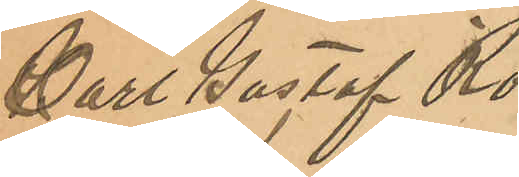Carl Gustaf Ro¬
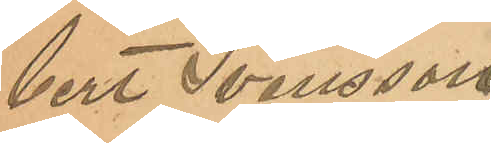bert Svensson
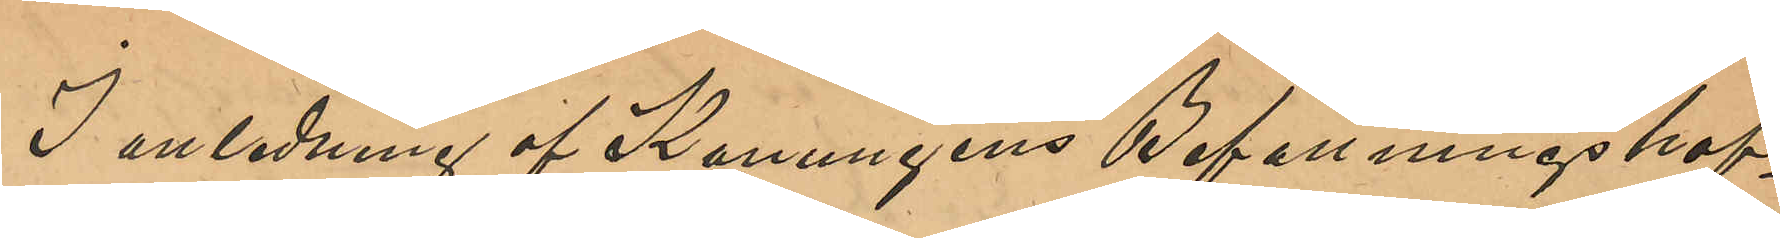I anledning af Konungens Befallningshaf¬
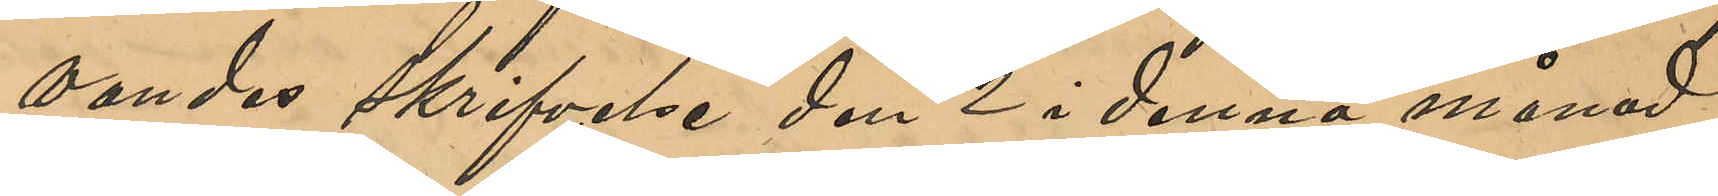vandes skrifvelse den 2 i denna månad 
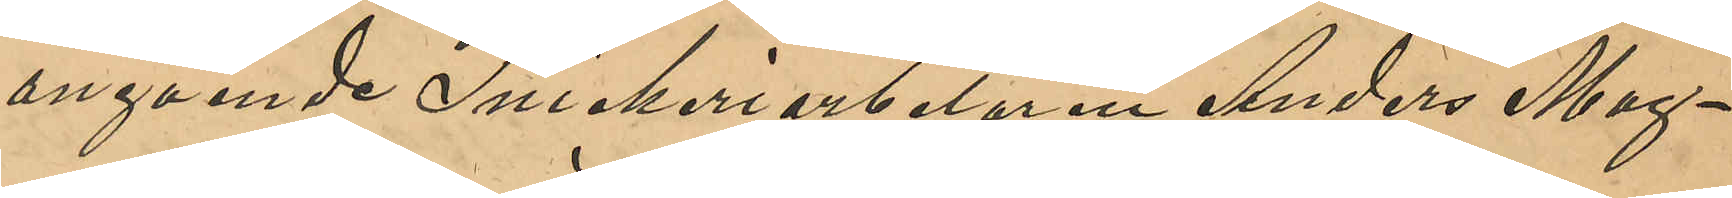angående Snickeriarbetaren Anders Mag¬
